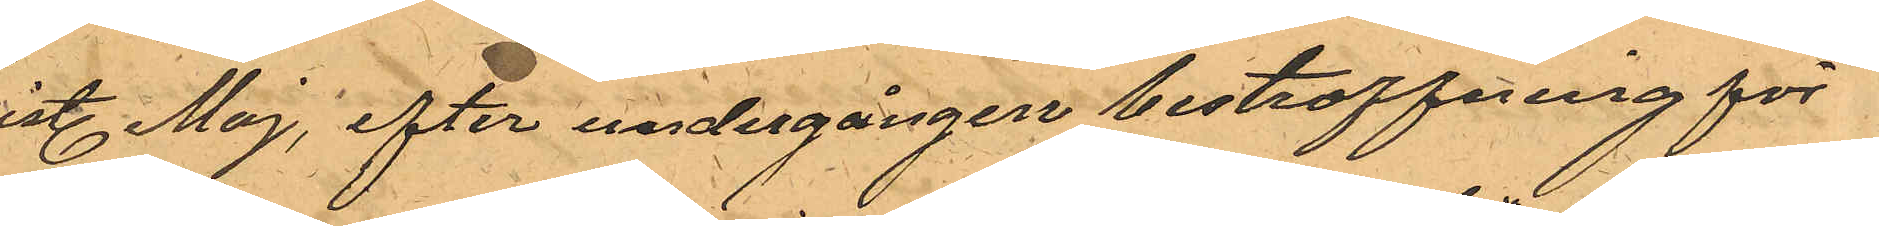sist. Maj, efter undergången bestraffning för
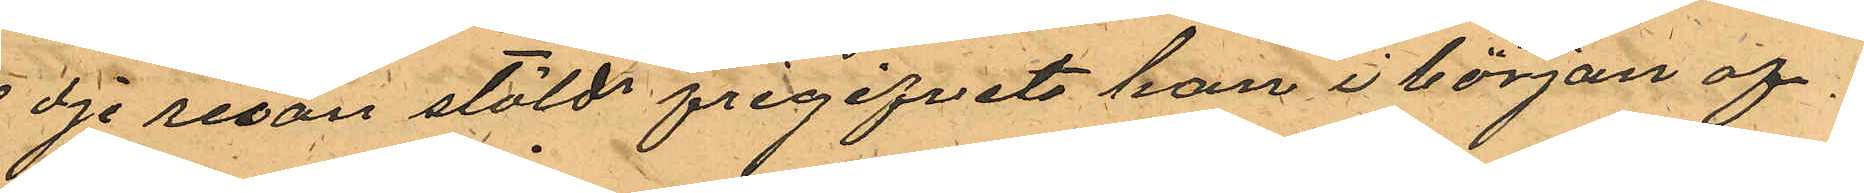3dje resan stöld frigifvits han i början af
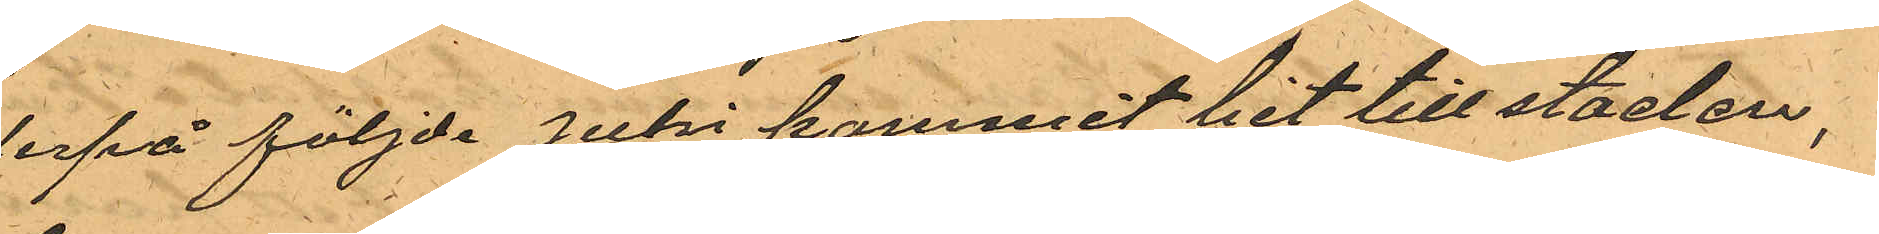derpå följde juni kommit hit till staden;
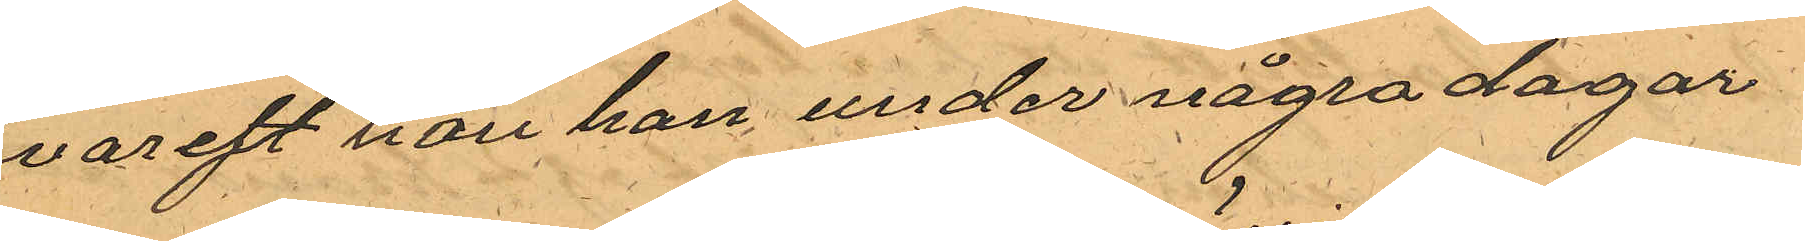hvareft han han under några dagar
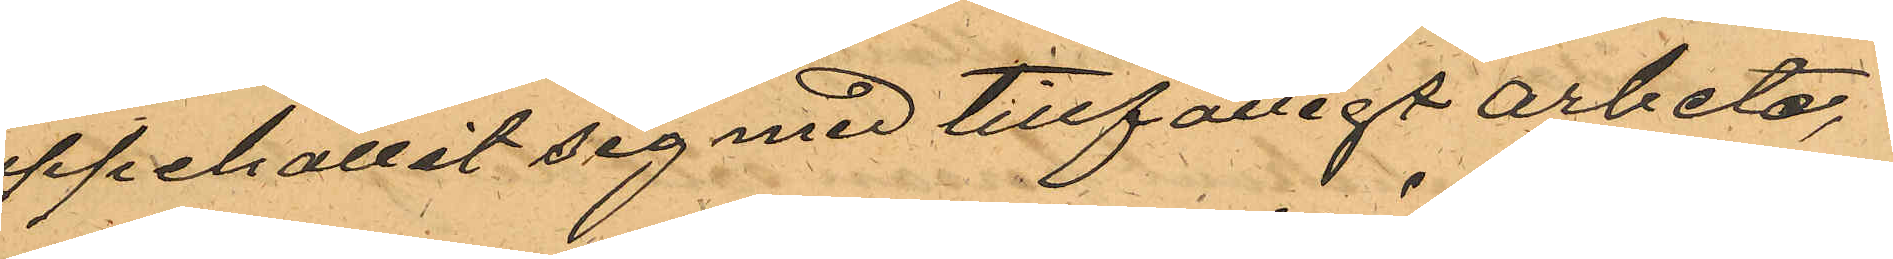uppehållit sig med tillfälligt arbete,
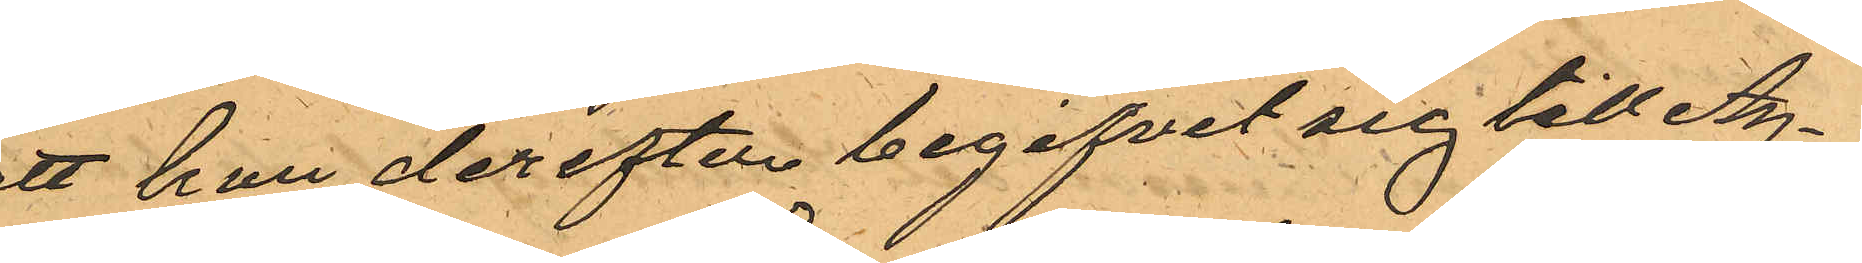att han derefter begifvit sig till Ag¬
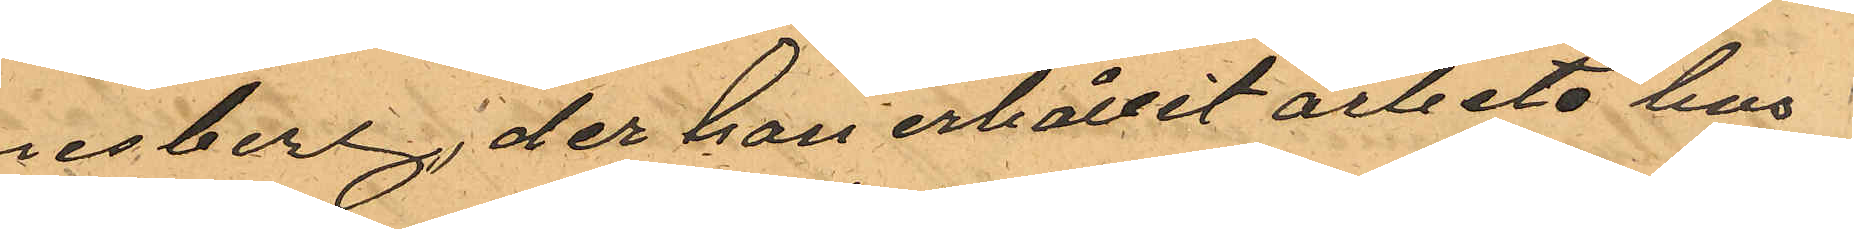nesberg; der han erhållit arbete hos
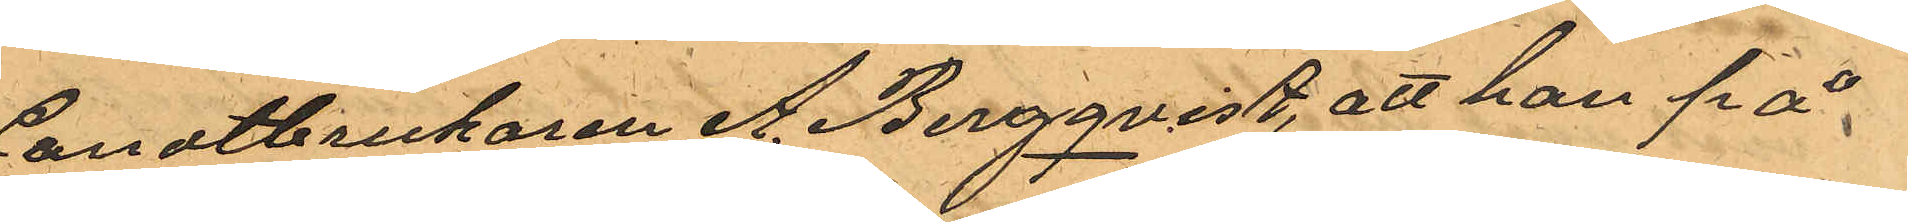Landtbrukaren A. Bergqvist, att han på
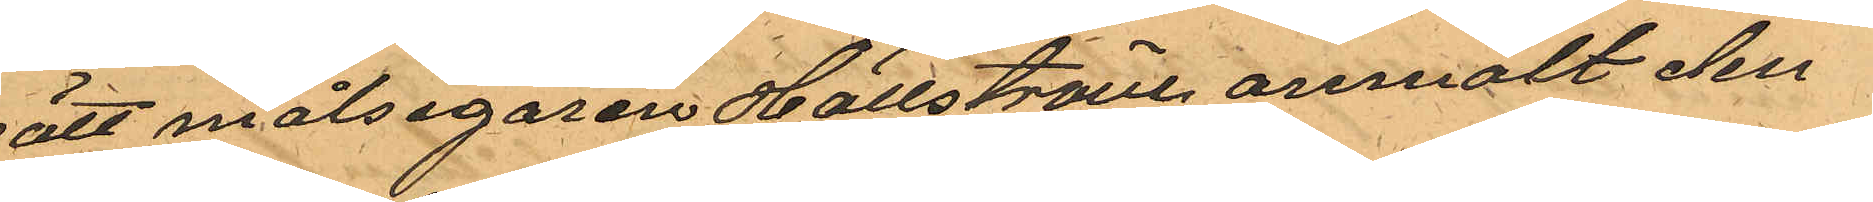sätt målsegaren Hällström anmält den
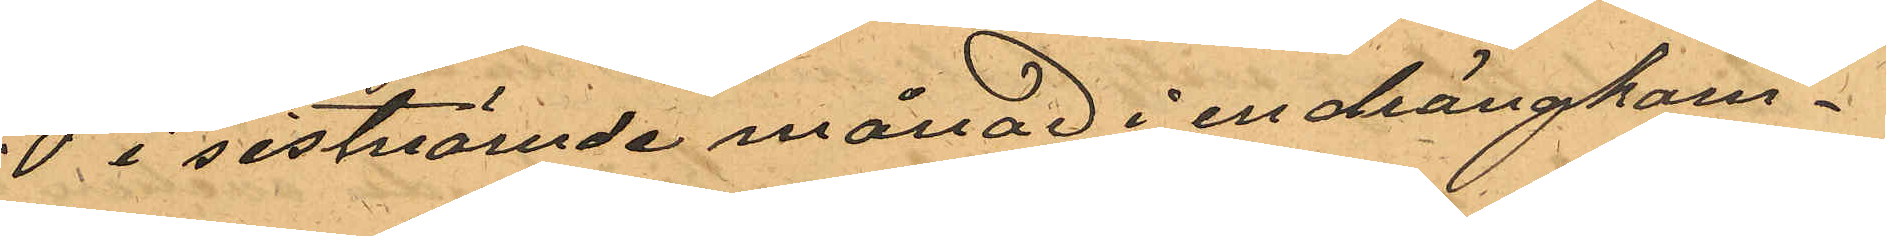20 i sistnämde månad i en drängkom¬
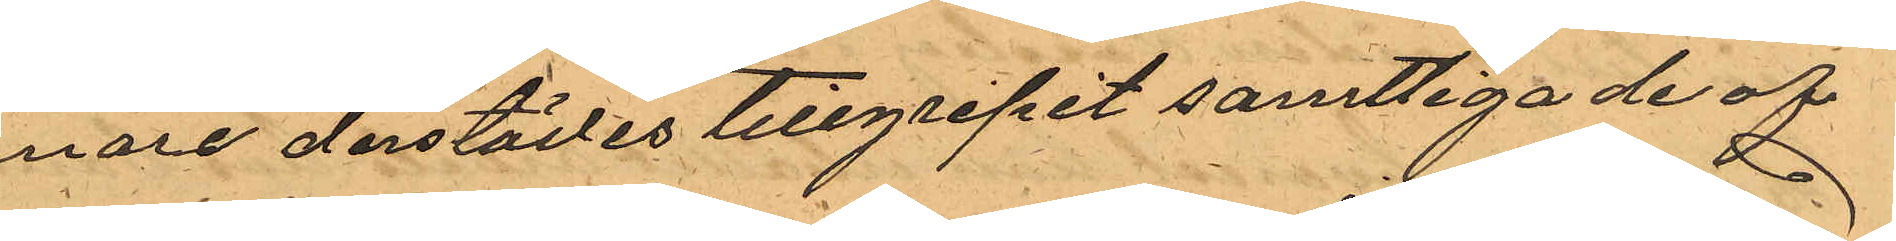mare derstädes tillgripit samtliga de af
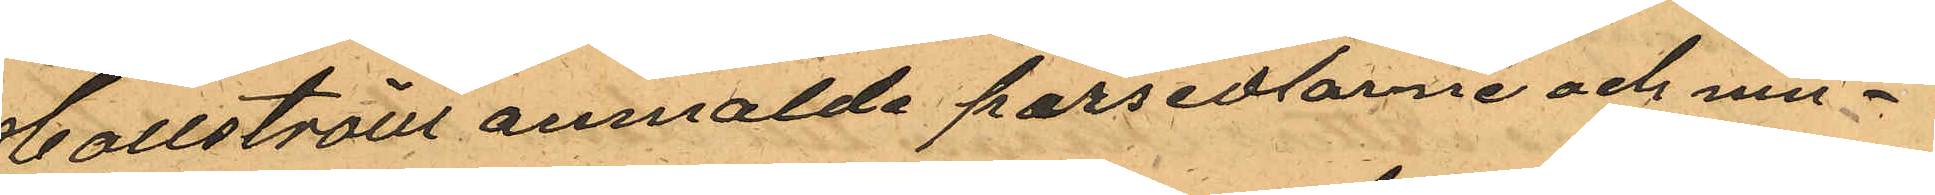Hallström anmälde persedlarne och med¬
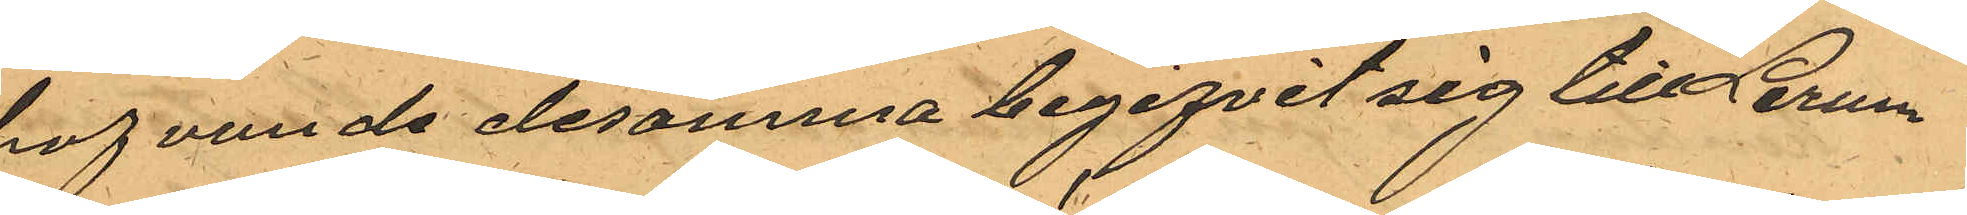hafvande desamma begifvit sig till Lerum
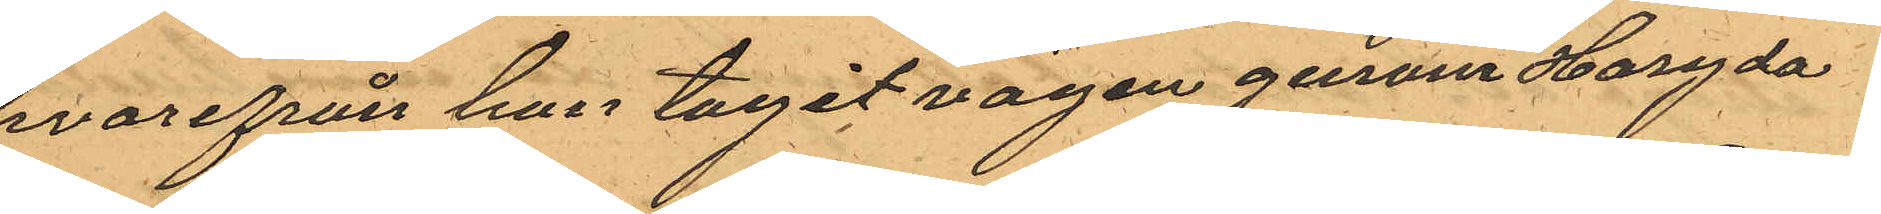hvarifrån han tagit vägen genom Haryda
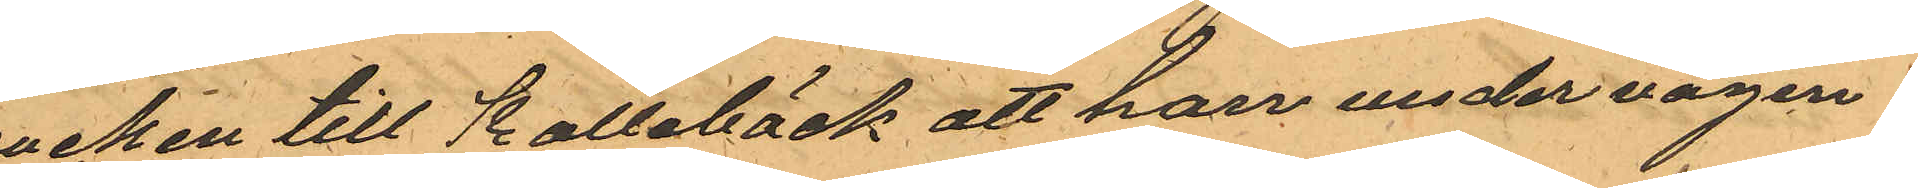socken till Kallebäck att han under vägen
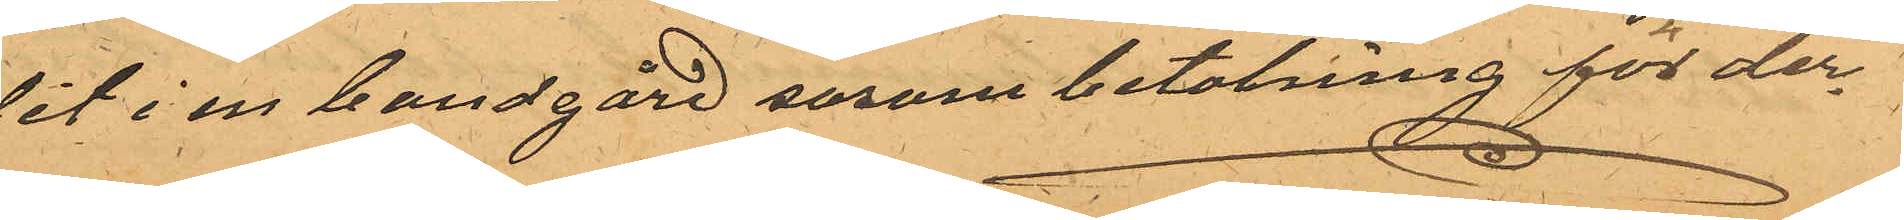dit i en bondgård såsom betalning för der¬
